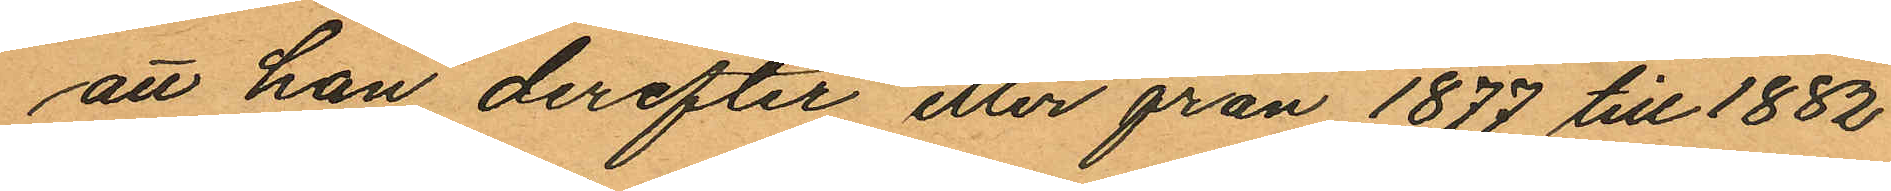att han derefter eller från 1877 till 1882
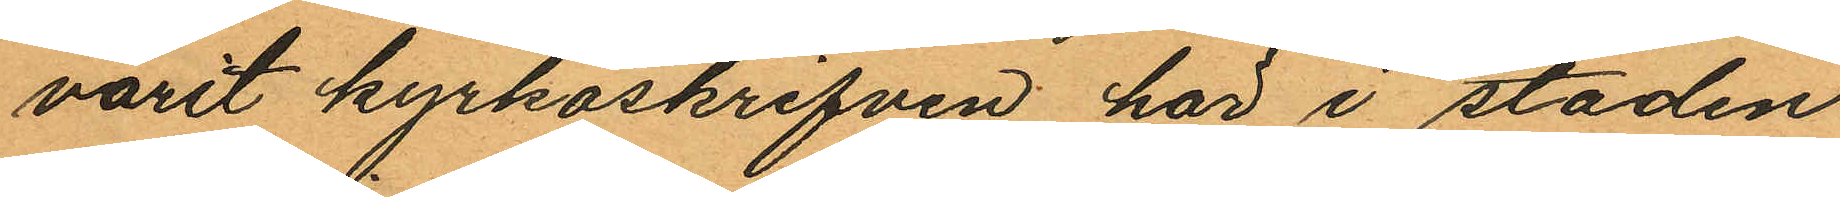varit kyrkoskrifven här i staden
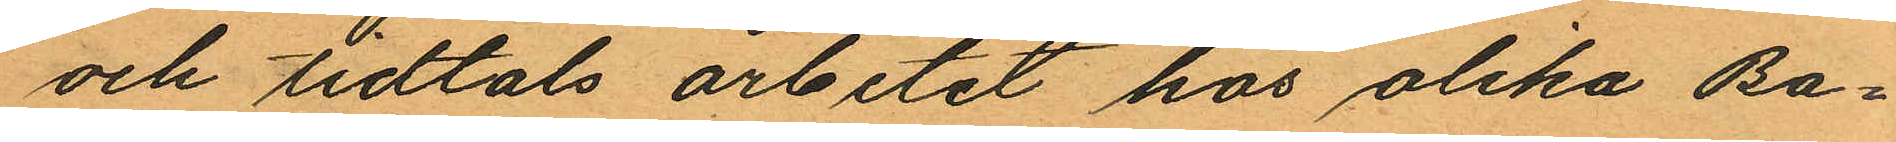och tidtals arbetat hos olika Ba¬
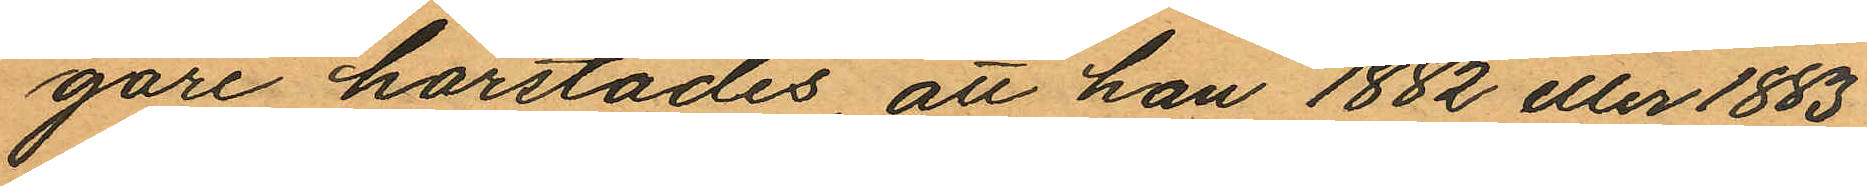gare härstädes att han 1882 eller 1883
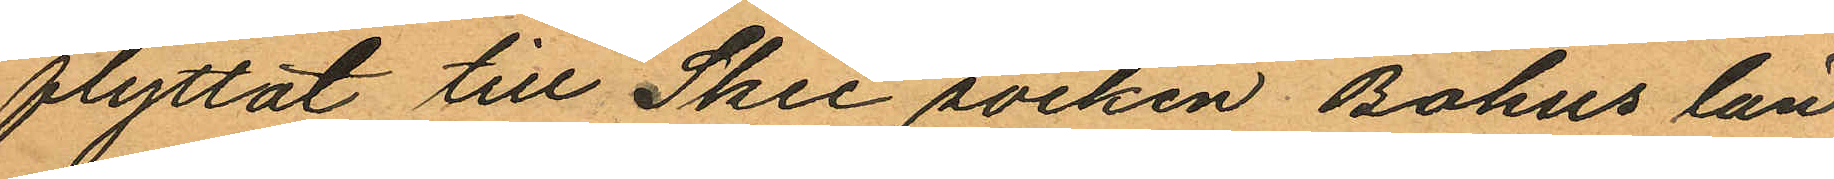flyttat till Skee socken, Bohus län
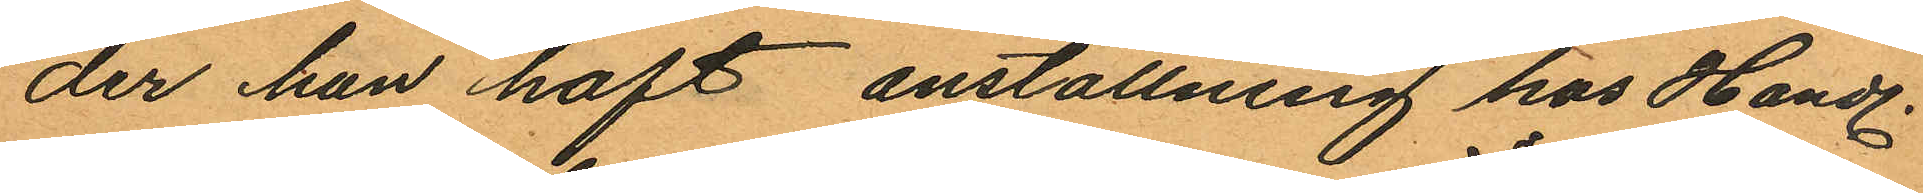der han haft anställning hos Handl.
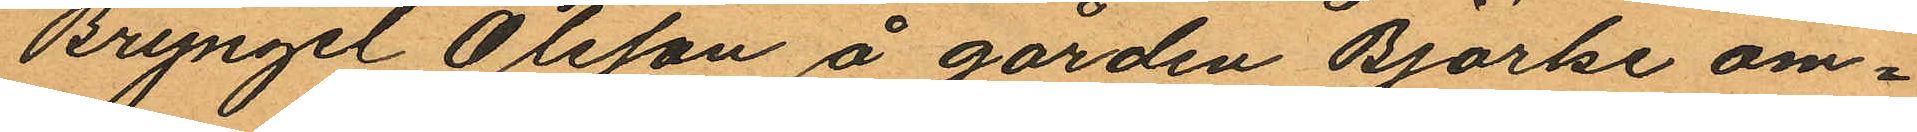Bryngel Olsson å gården Björke om¬
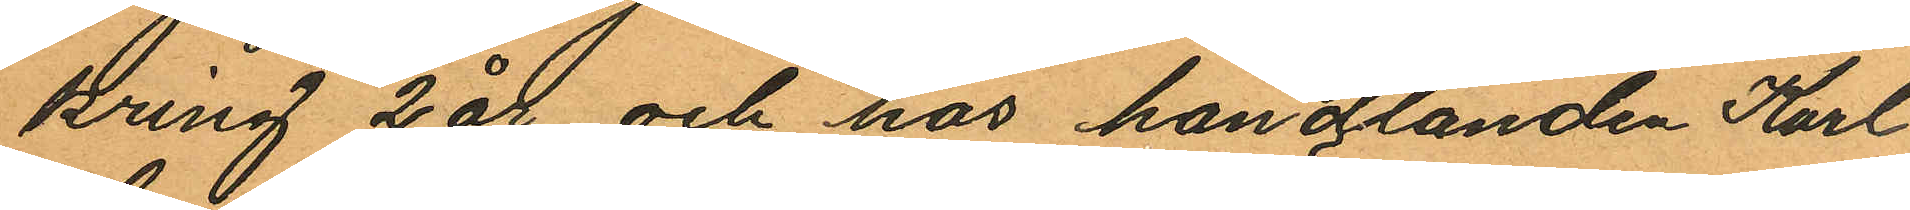kring 2 år och hos handlanden Karl
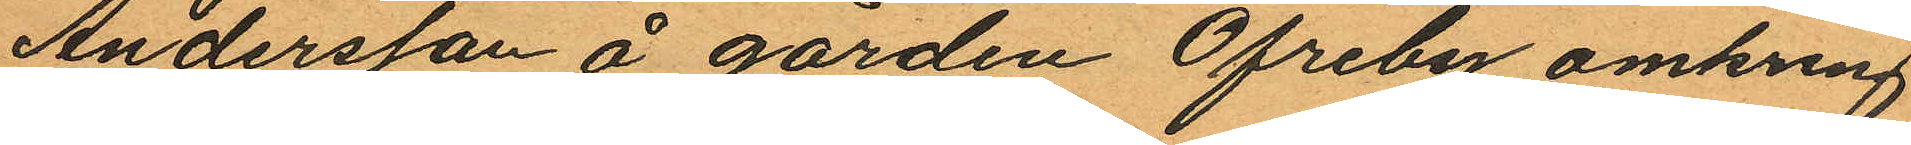Andersson å gården Öfreby omkring
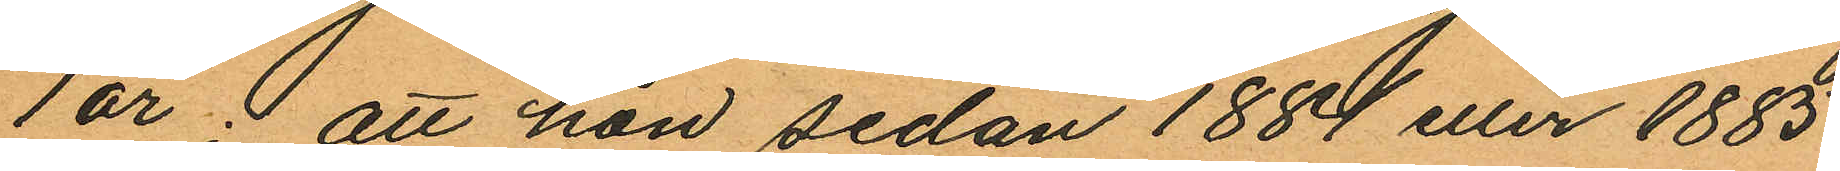1 år; att han sedan 1884 eller 1885
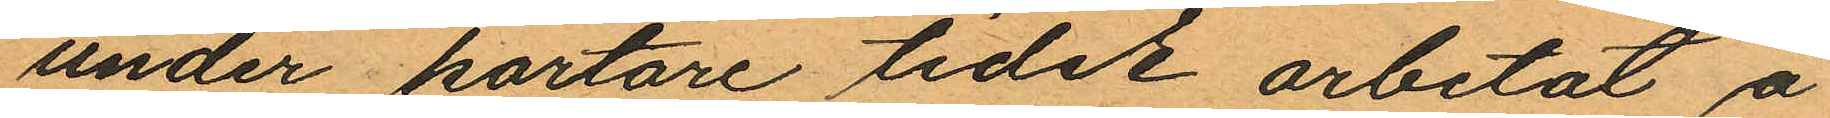under kortare tider arbetat å
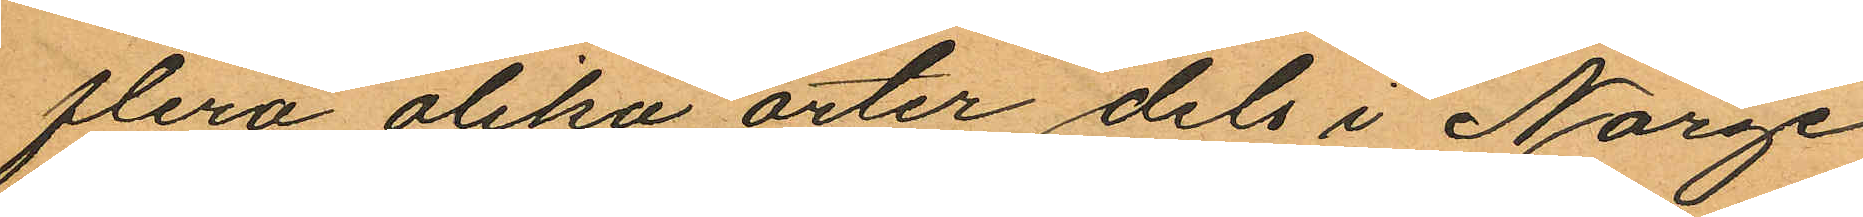flera olika orter dels i Norge
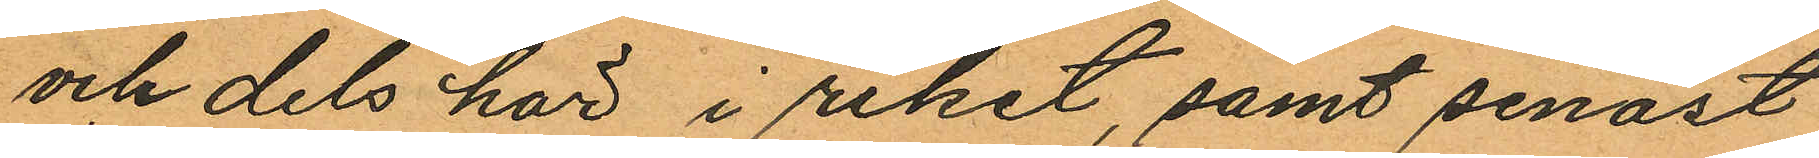och dels här i riket, samt senast
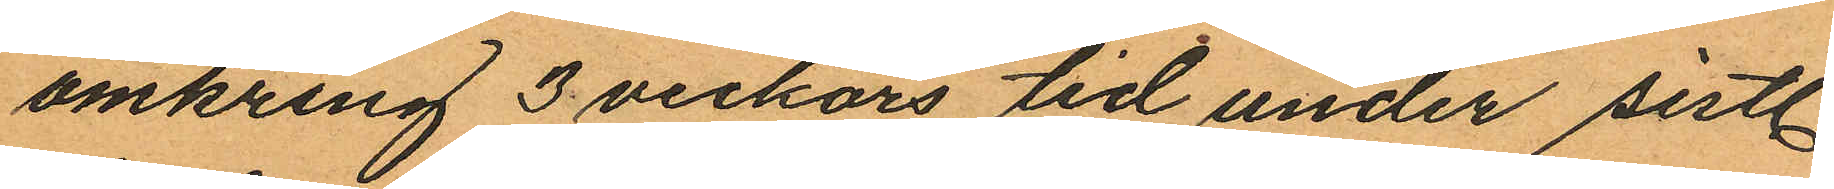omkring 3 veckors tid under sistl.
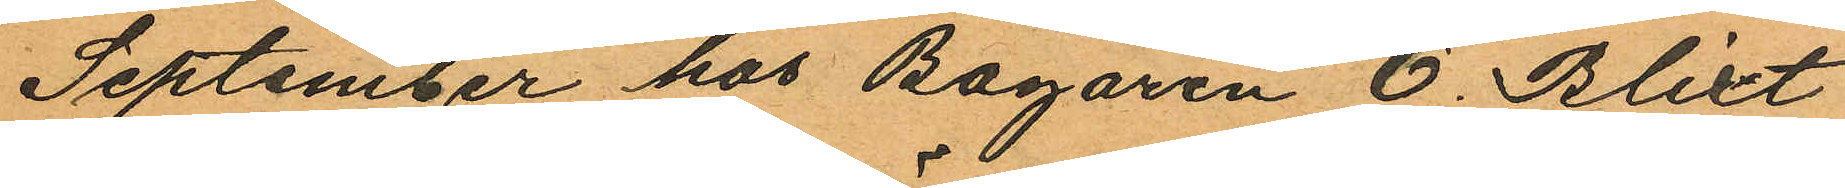September hos Bagaren O. Blixt
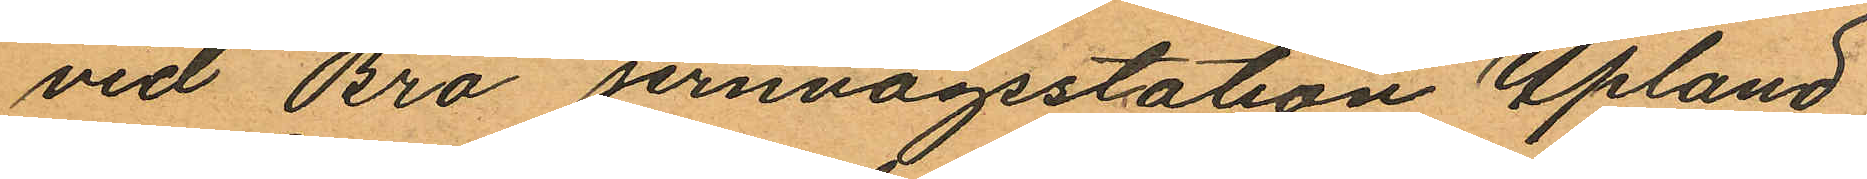vid Bro jernvägsstation Upland
